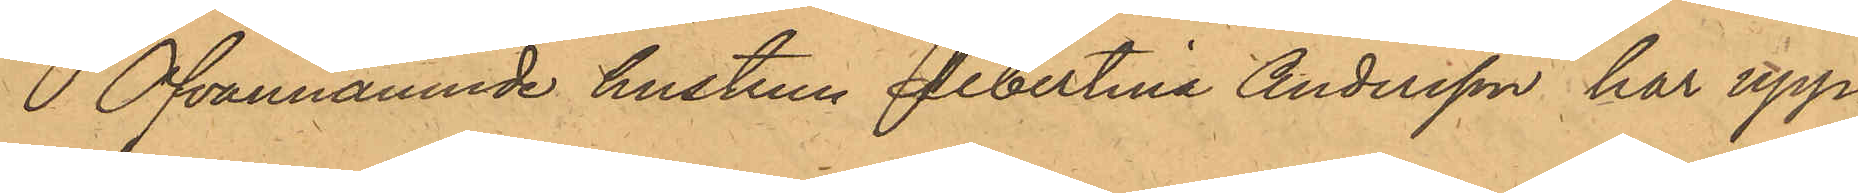Ofvannämnde hustrun Albertina Andersson har upp¬
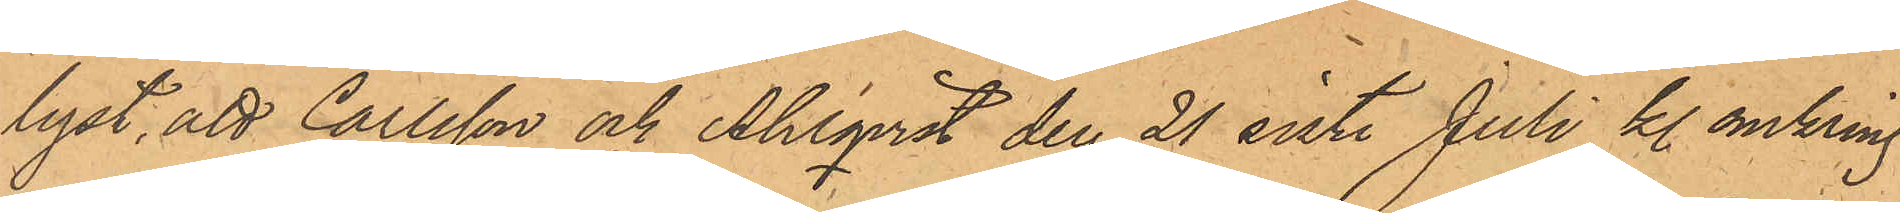lyst, att Carlsson och Ahlqvist den 21 sist. Juli kl. omkring
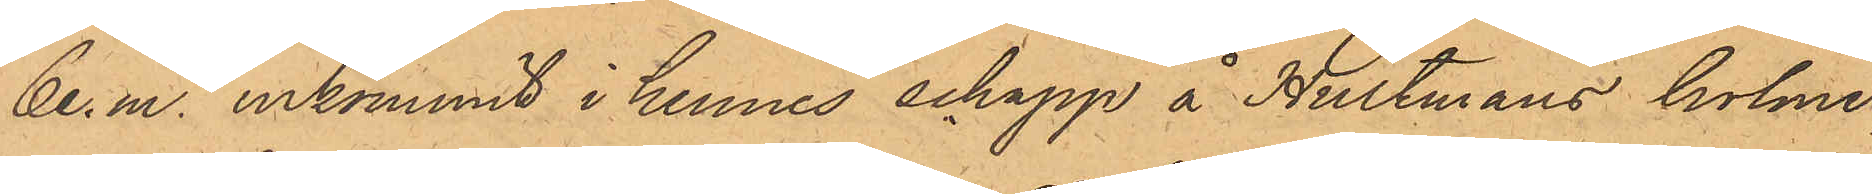6 e. m. inkommit i hennes schapp å Hultmans holme
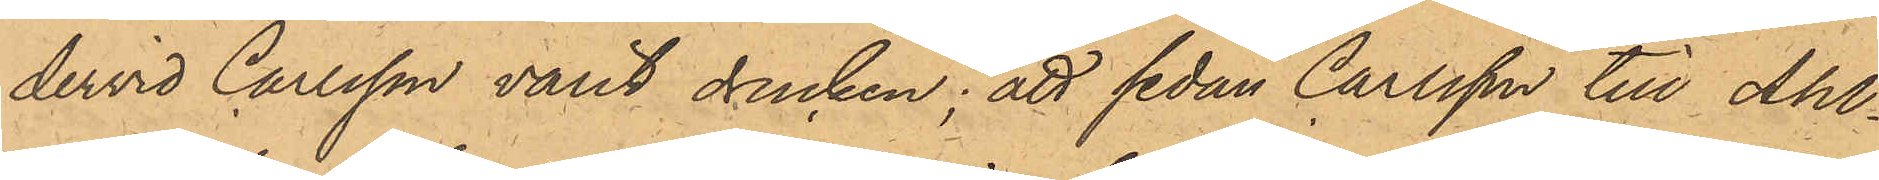dervid Carlsson varit drucken; att sedan Carlsson till Ahl¬
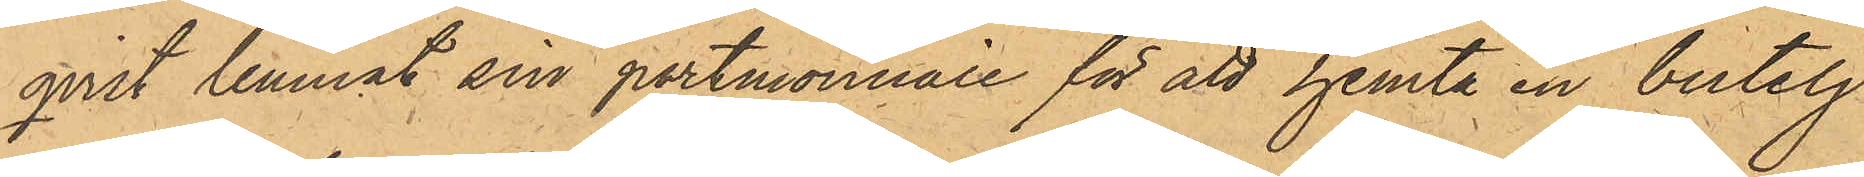qvist lemnat sin portmonnaie för att hemta en butelj
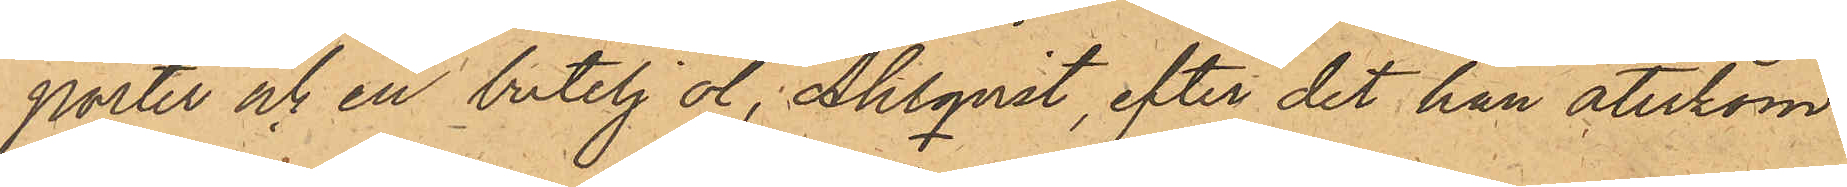porter och en butelj öl, Ahlqvist, efter det han återkom¬
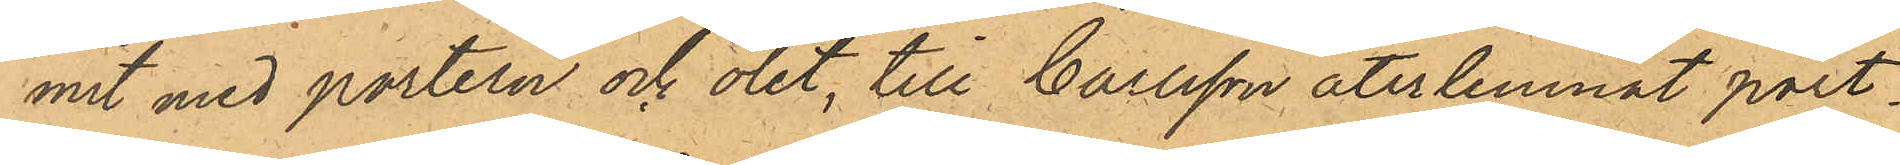mit med portern och ölet, till Carlsson återlemnat port
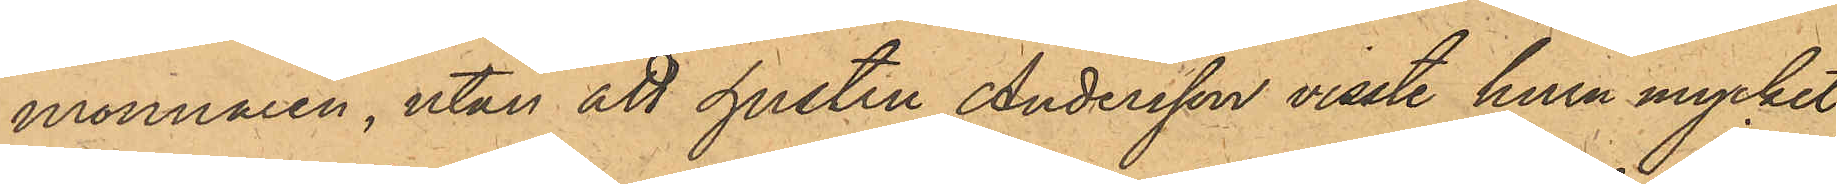monnaien, utan att hustru Andersson visste huru mycket
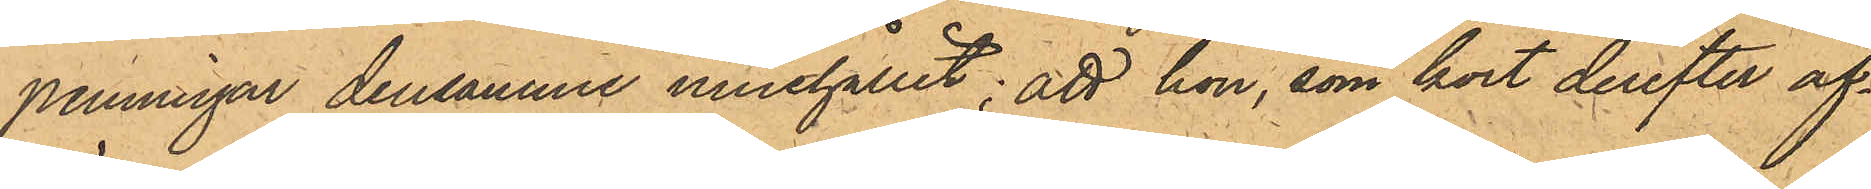penningar densamme innehållit; att hon, som kort derefter af¬
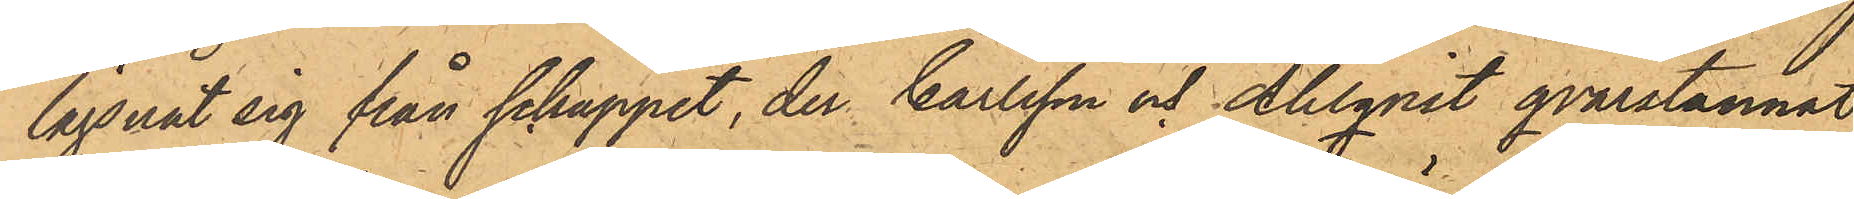lägsnat sig från schappet, der Carlsson och Ahlqvist qvarstannat
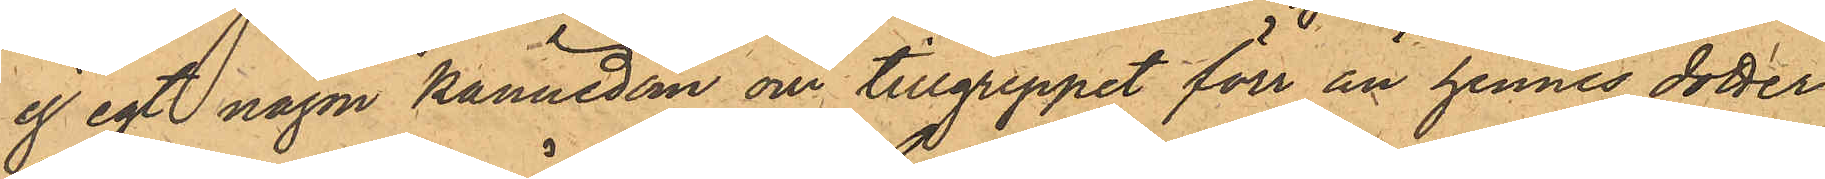ej egt någon kännedom om tillgreppet förr än hennes dotter
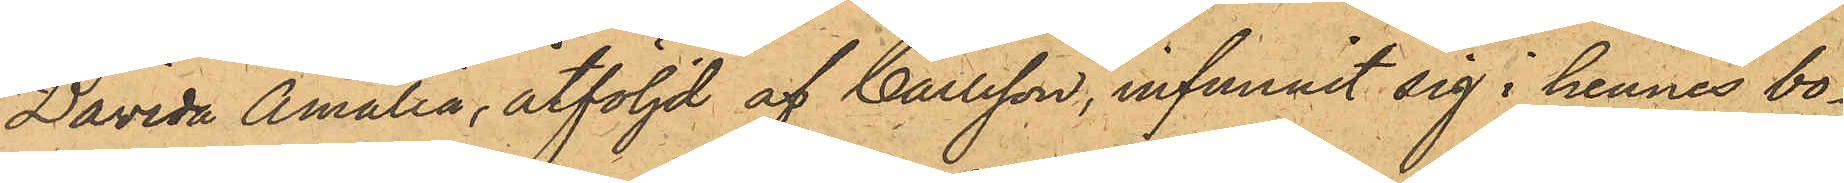Davida Amalia, åtföljd af Carlsson, infunnit sig i hennes bo¬
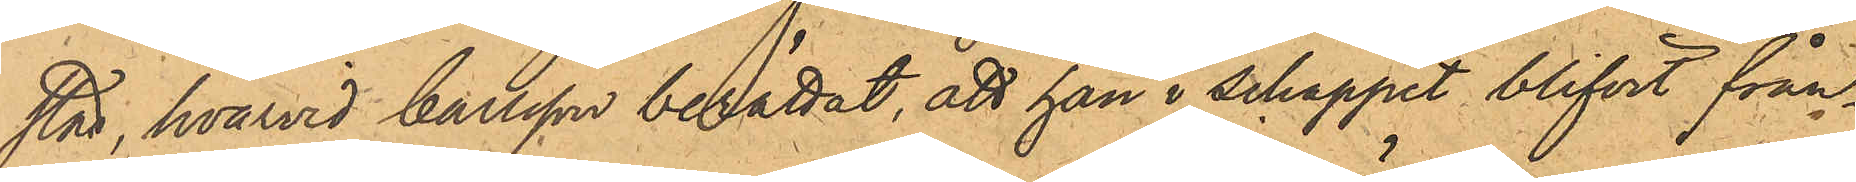stad, hvarvid Carlsson berättat, att han i schappet blifvit från¬
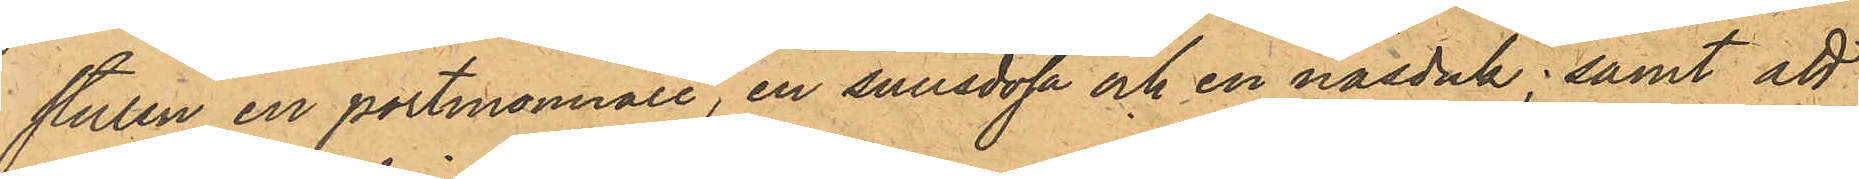stulen en portmonnaie, en snusdosa och en näsduk; samt att
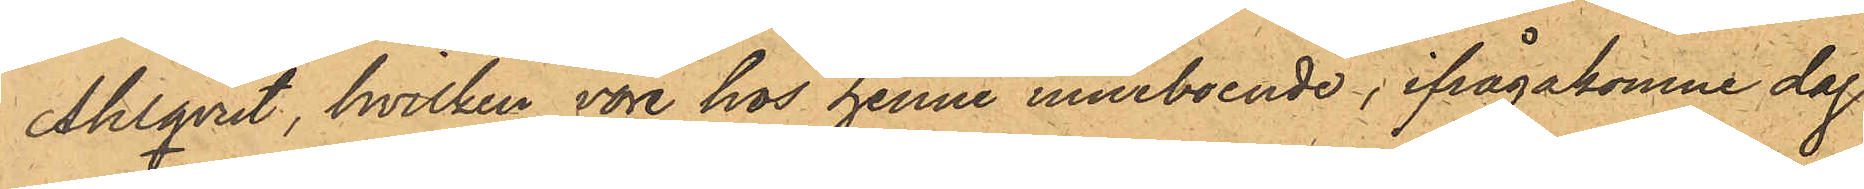Ahlqvist, hvilken vore hos henne inneboende, ifrågakomne dag
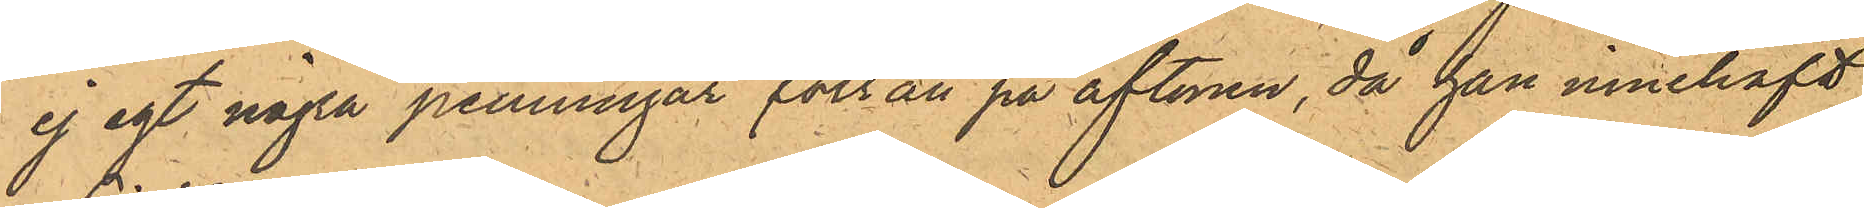ej egt några penningar förrän på aftonen, då han innehaft
